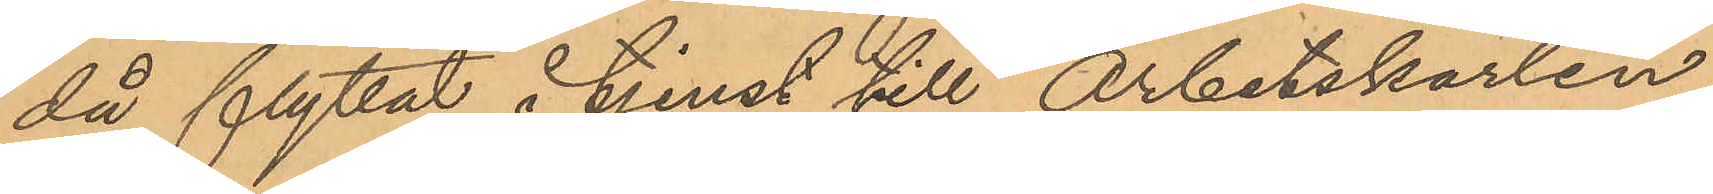då flyttat i tjenst till Arbetskarlen
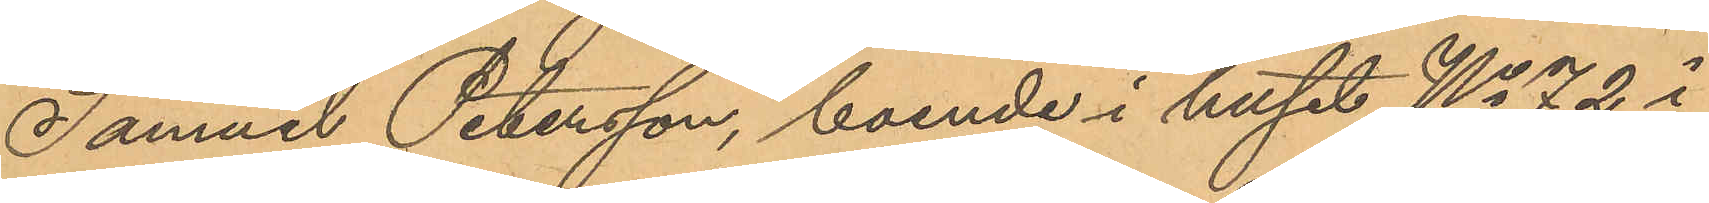Samuel Petersson, boende i huset No 72 i
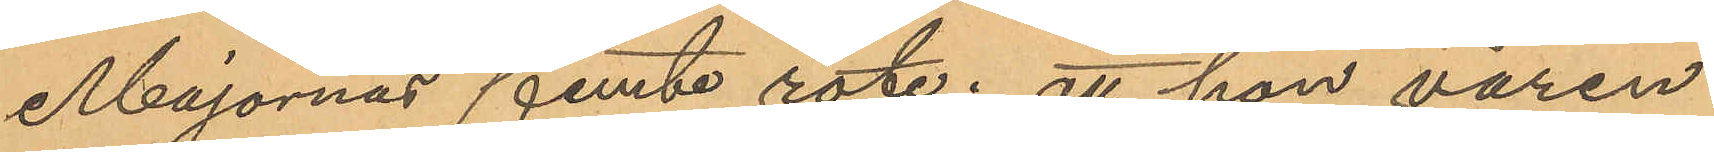Majornas femte rote; att hon våren
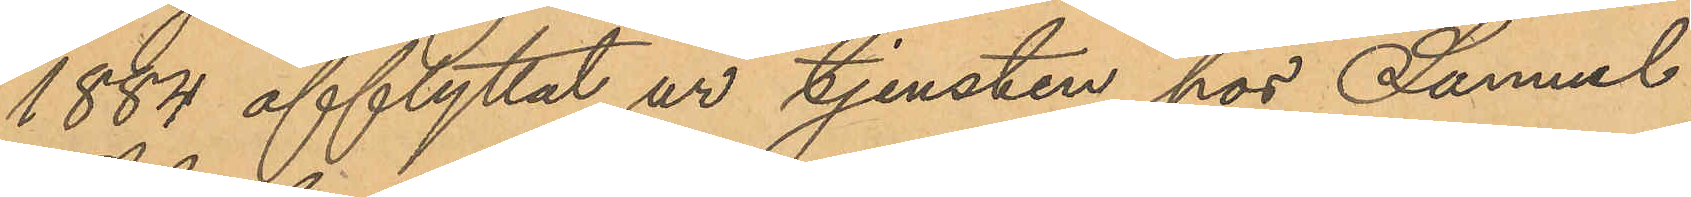1884 afflyttat ur tjensten hos Samuuel
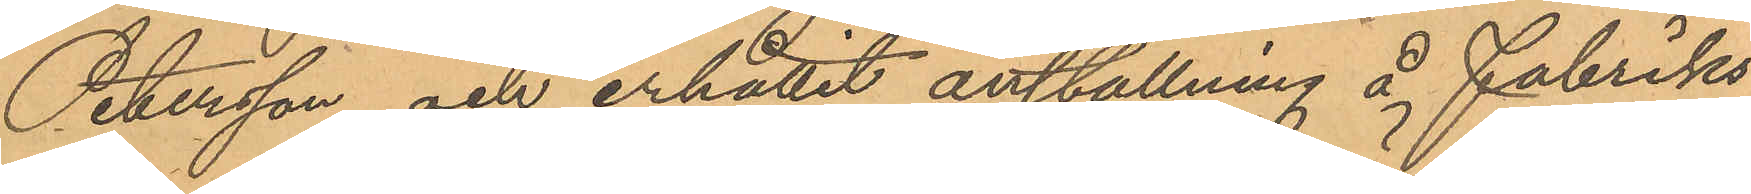Petersson och erhållit anställning å Fabriks¬
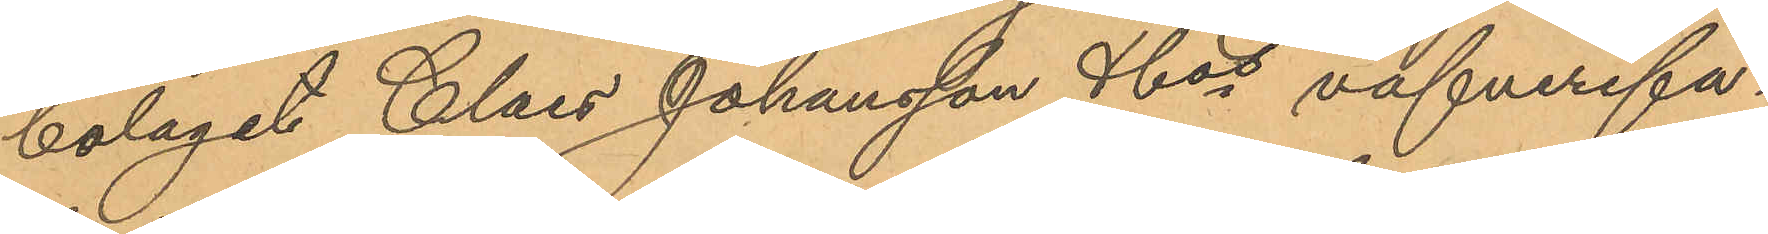bolaget Claes Johansson & Cos väfverifa¬
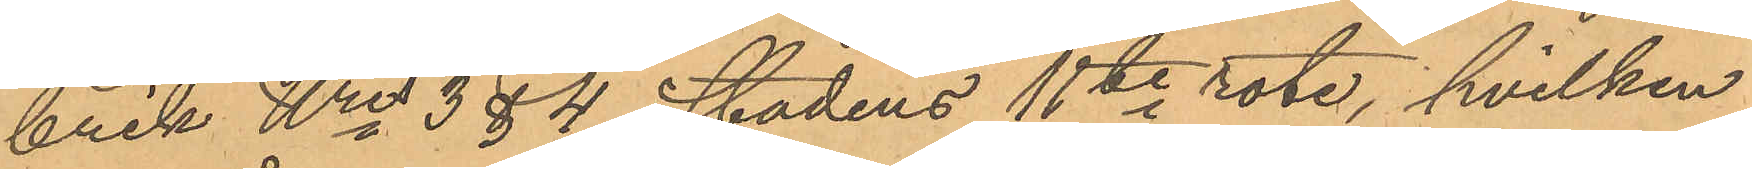brik Nris 3 & 4 i stadens 11te rote, hvilken
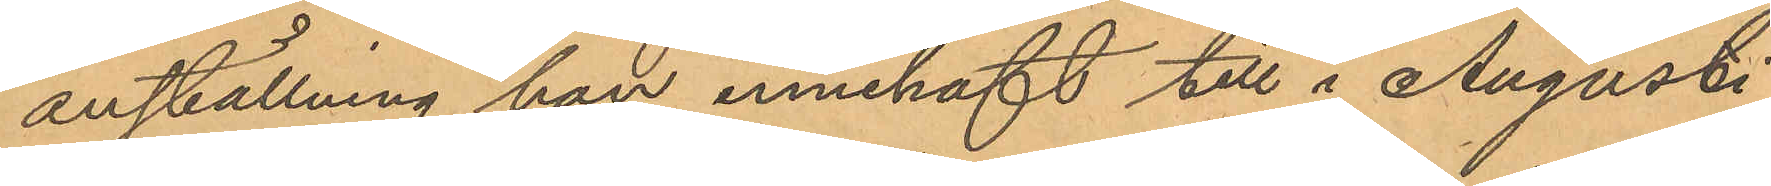anställning hon innehaft till i Augusti
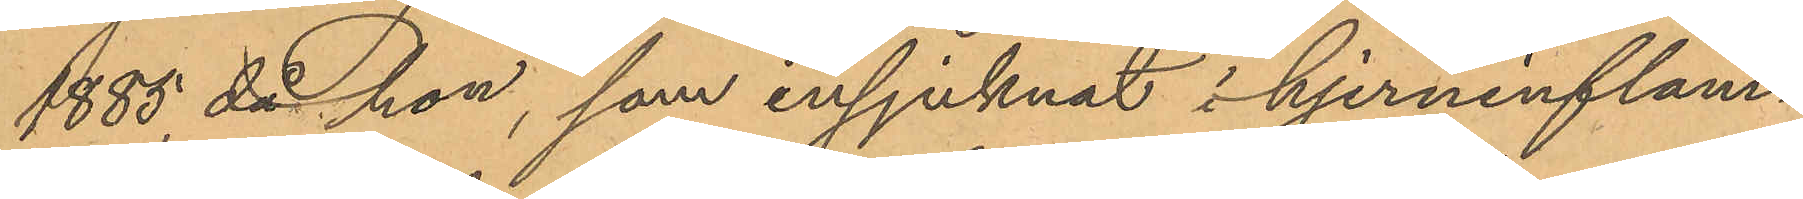1885, då hon, som insjuknat i hjerninflam¬
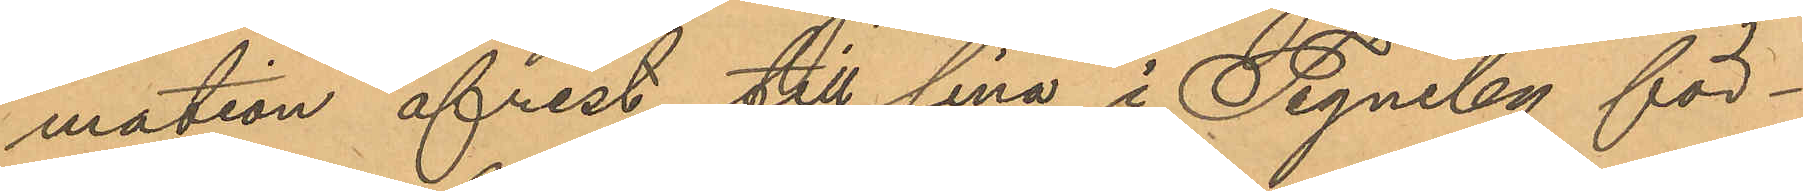mation afrest till sina i Tegneby för¬
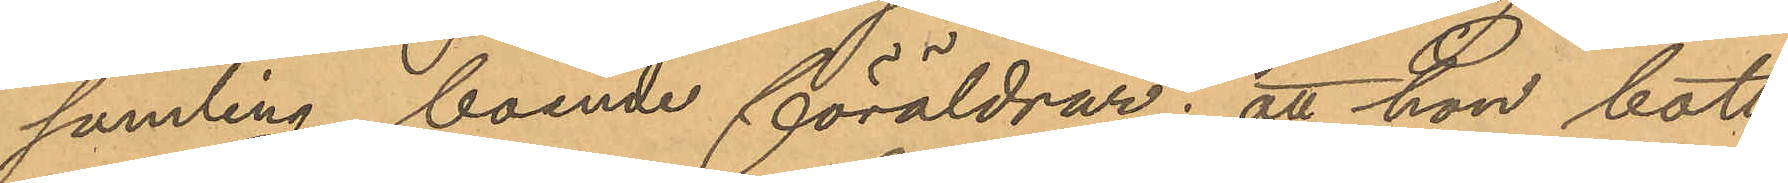samling boende föräldrar; att hon bott
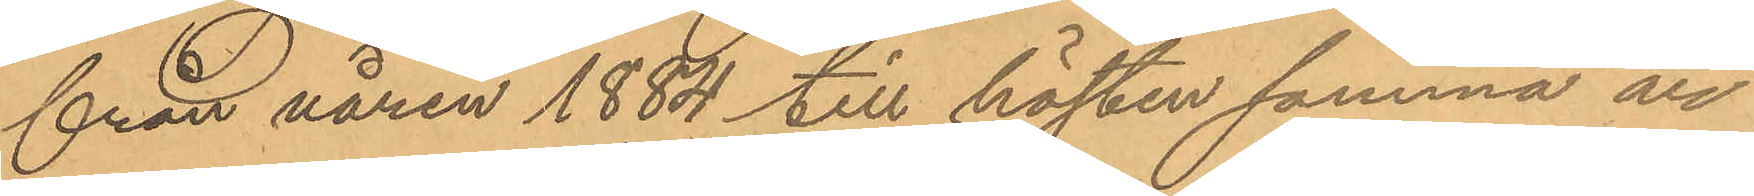från våren 1884 till hösten samma år
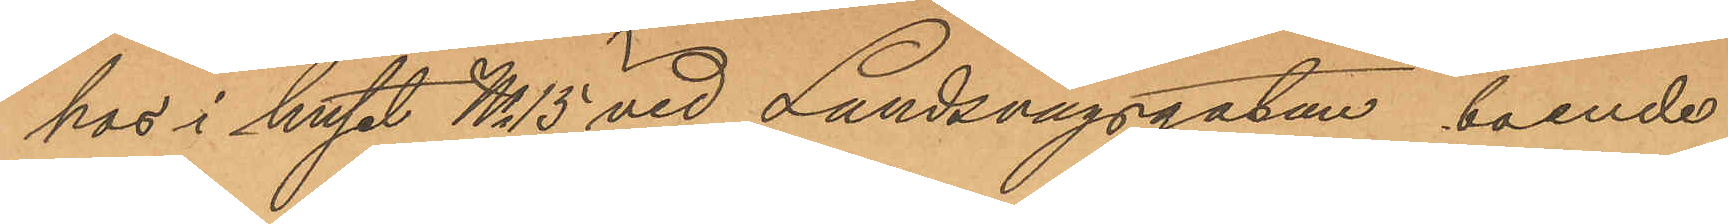hos i huset No 15 vid Landsvägsgatan boende
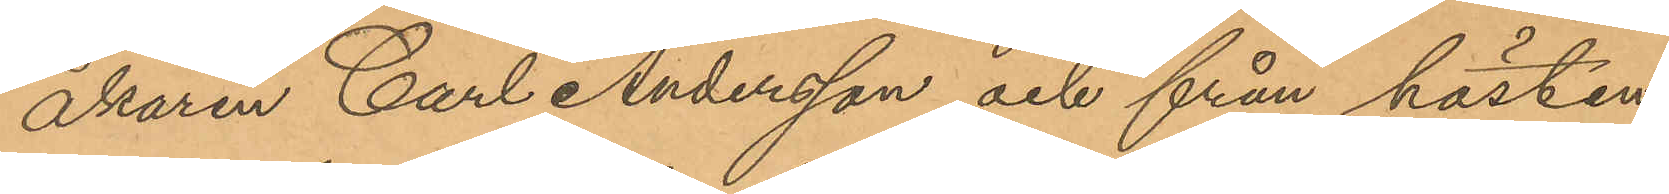åkaren Carl Andersson och från hösten
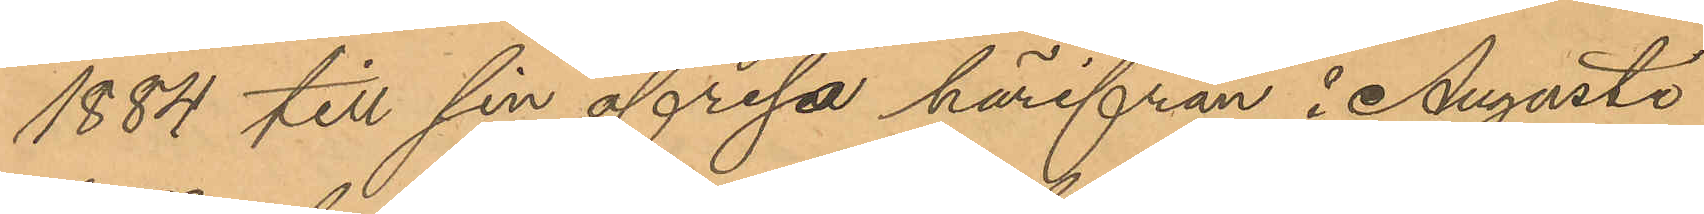1884 till sin afresa härifrån i Augusti
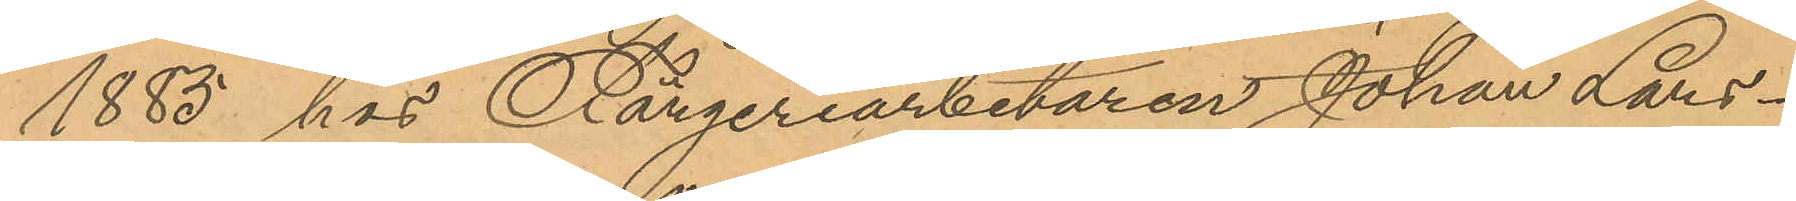1885 hos Färgeriarbetaren Johan Lars¬
